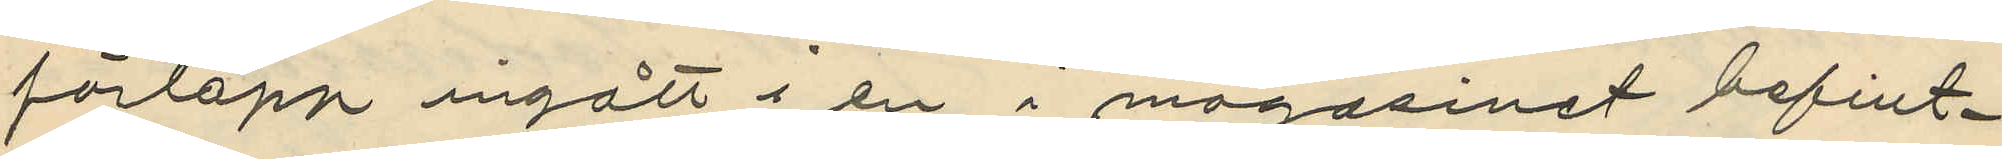förlopp ingått i en i magasinet befint¬
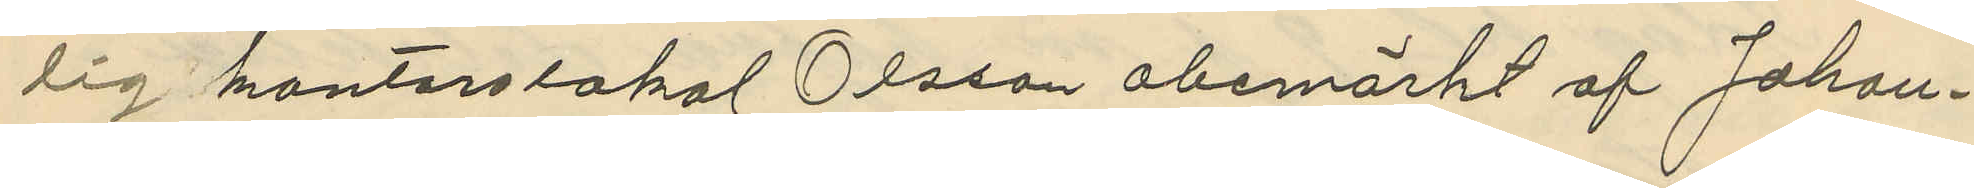lig kontorslokal Olsson obemärkt af Johan¬
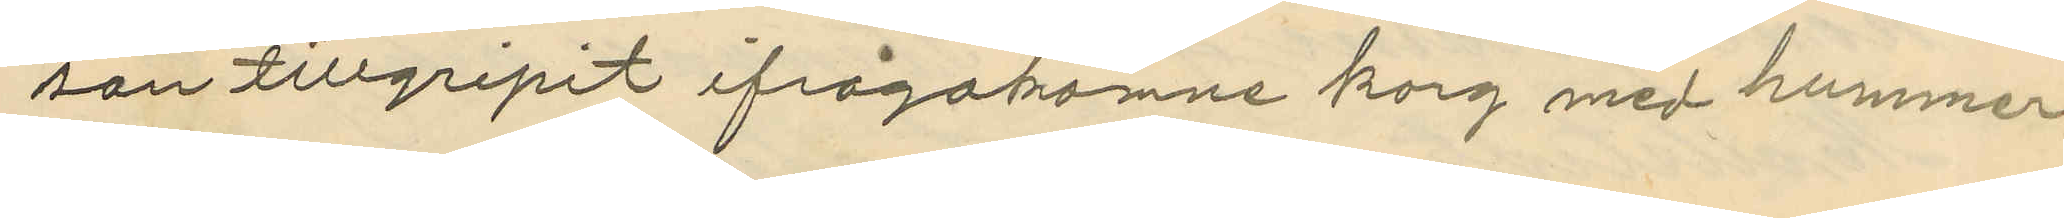son tillgripit ifrågakomne korg med hummer
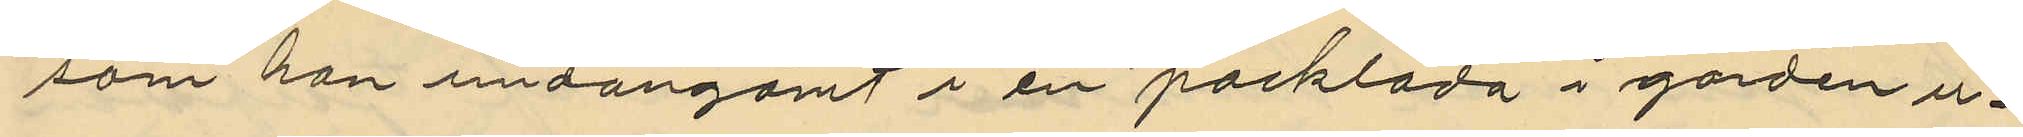som han undangömt i en packlåda i gården u¬
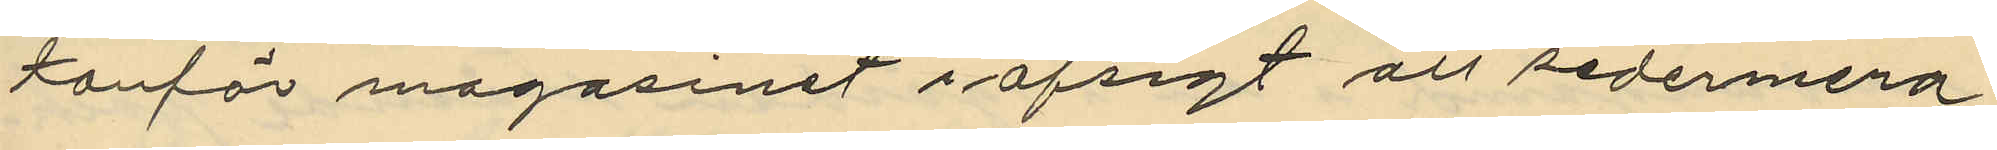tanför magasinet i afsigt att sedermera
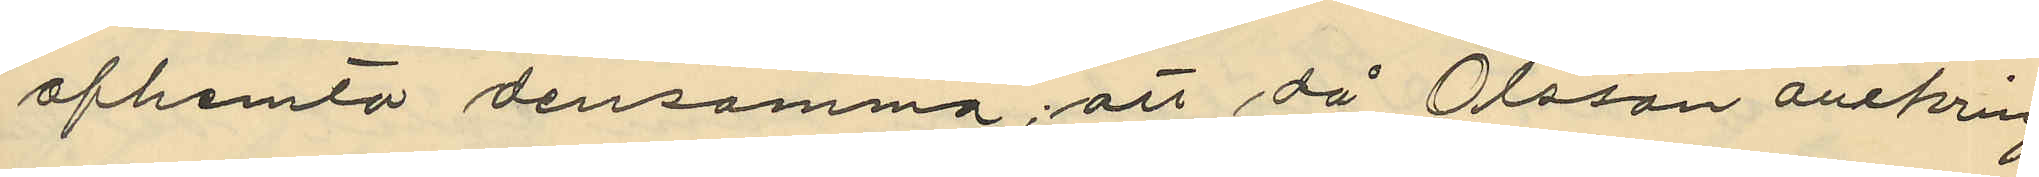afhemta densamma, att då Olsson omkring
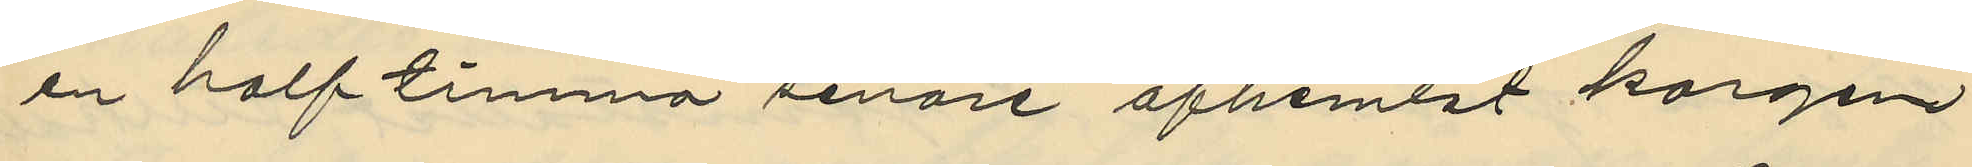en halftimma senare afhemtat korgen
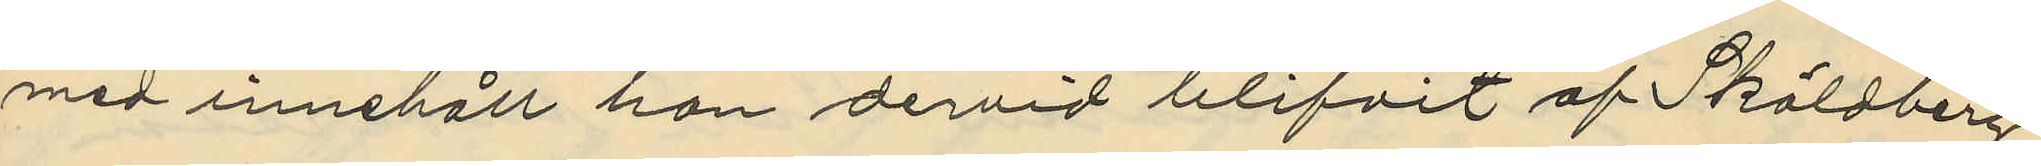med innehöll han dervid blifvit af Sköldberg
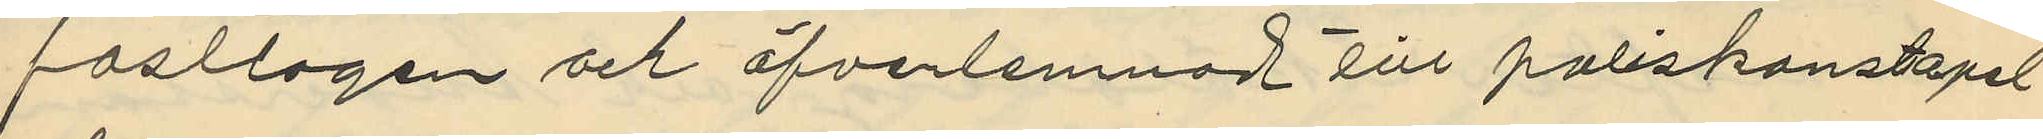fasttagen och öfverlemnad till poliskonstapel
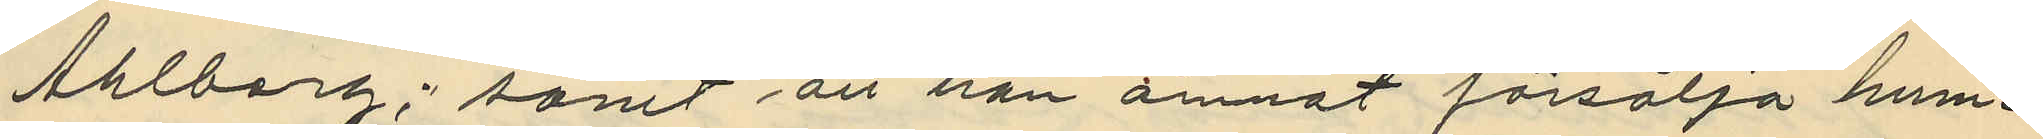Ahlberg; samt att han ämnat försälja hum¬
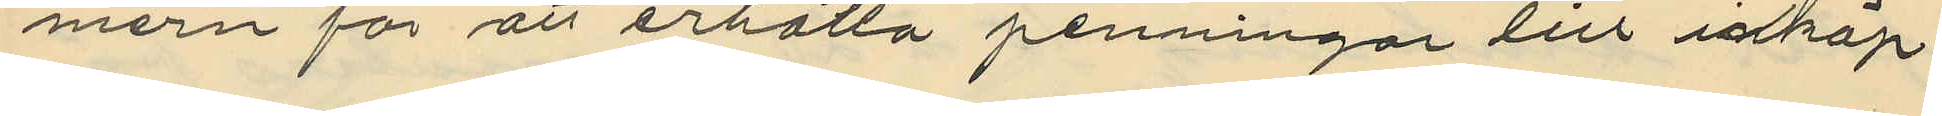mern för att erhålla penningar till inköp
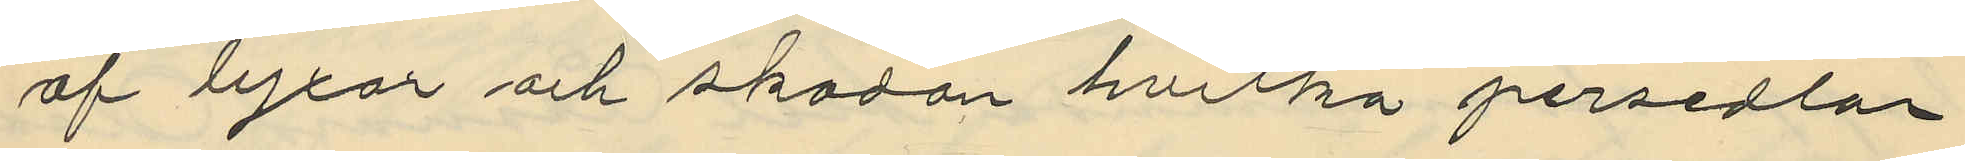af byxor och skodon hvilka persedlar
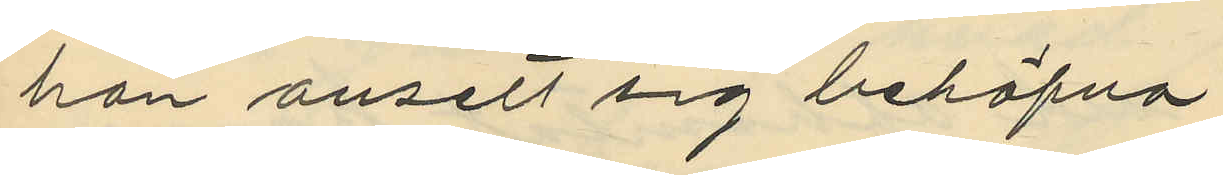han ansett sig behöfva.
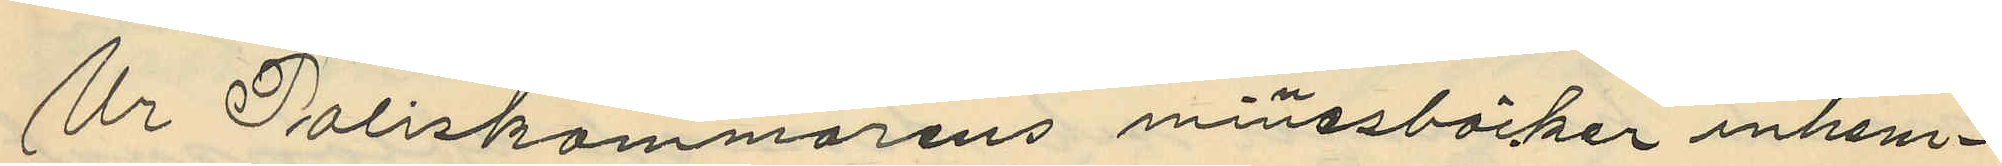Ur Poliskammarens minesböcker inhem¬
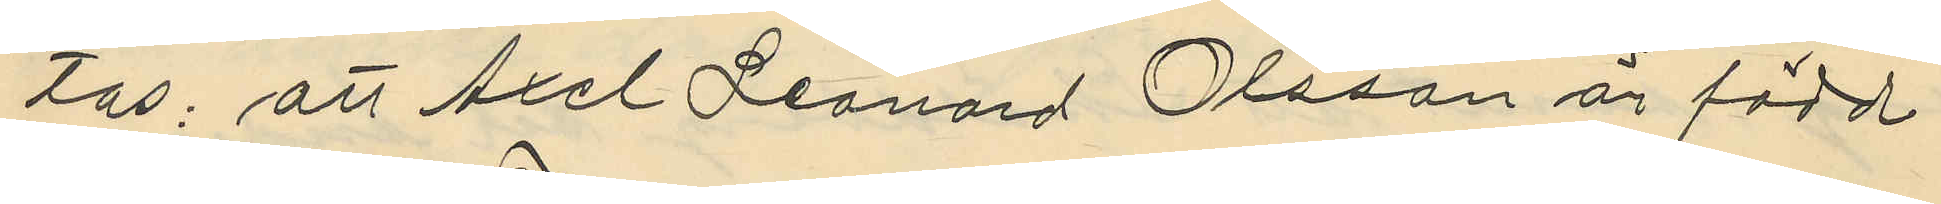tas; att Axel Leonard Olsson är född
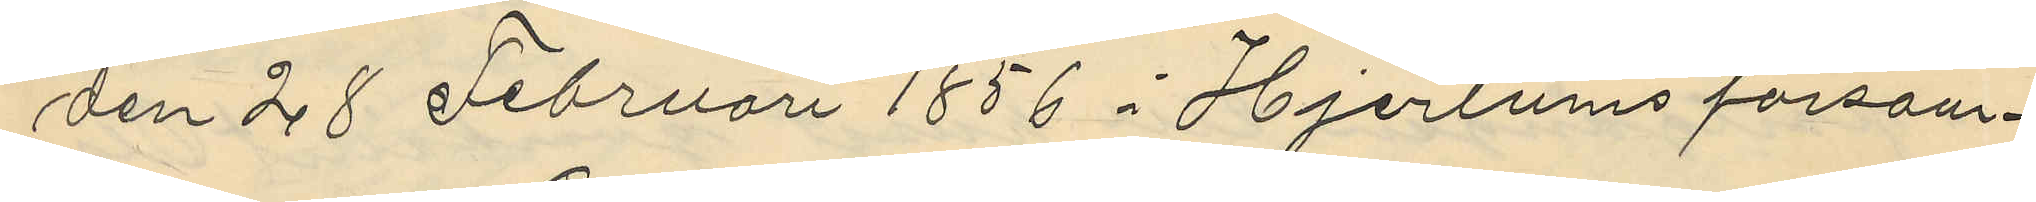den 28 Februari 1856 i Hjertums försam¬
